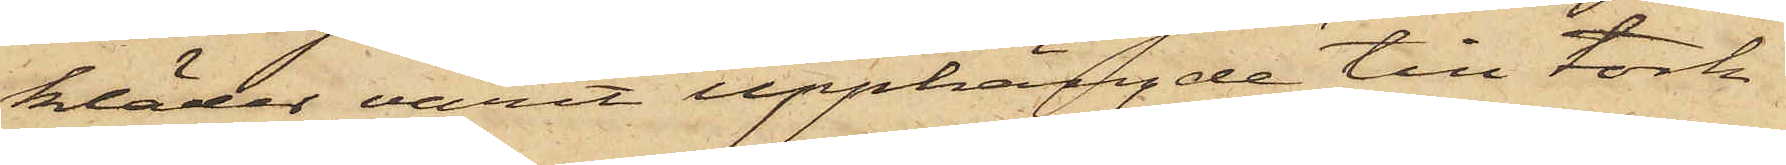kläder varit upphängde till tork¬
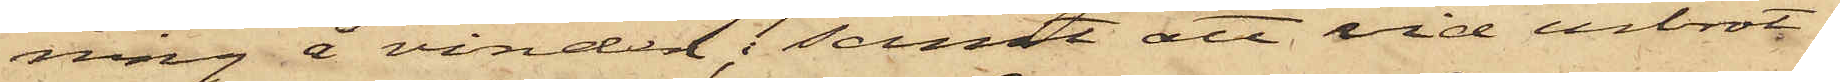ning å vinden; samt att vid inbrot¬
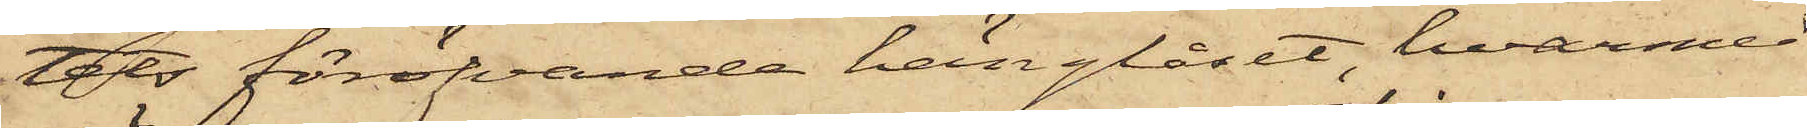tets föröfvande hänglåset, hvarmed
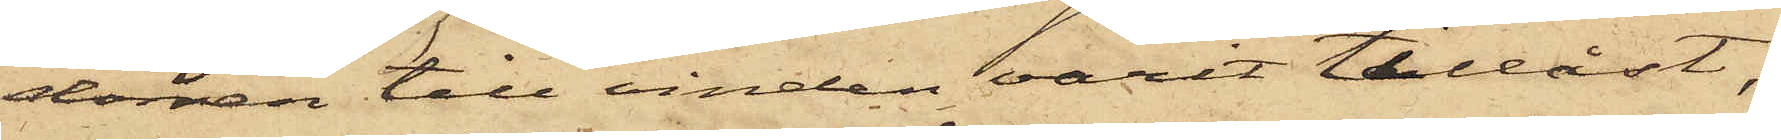dörren till vinden varit tillåst,
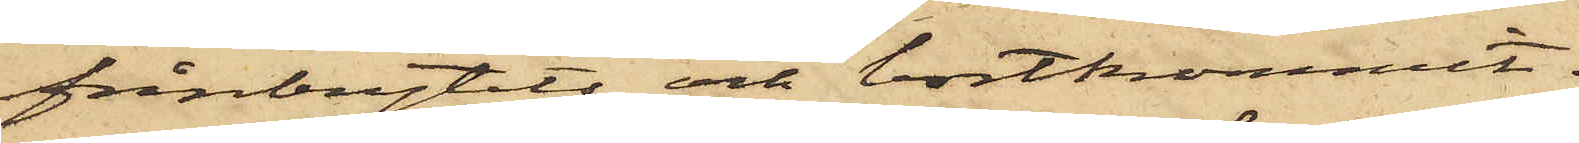frånbrytits och bortkommit.
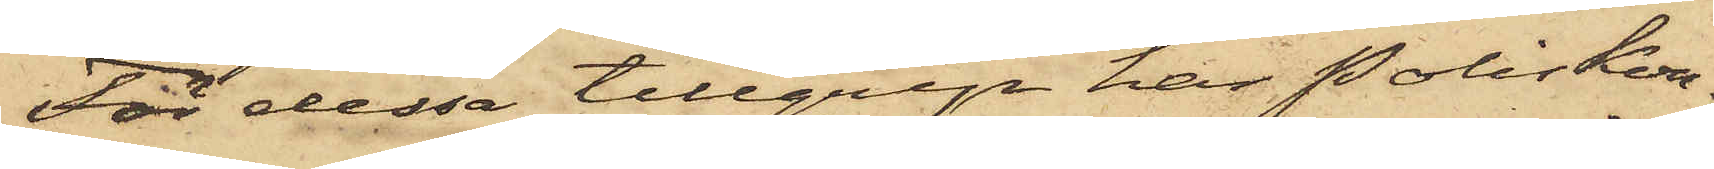För dessa tillgrep har Poliskon¬
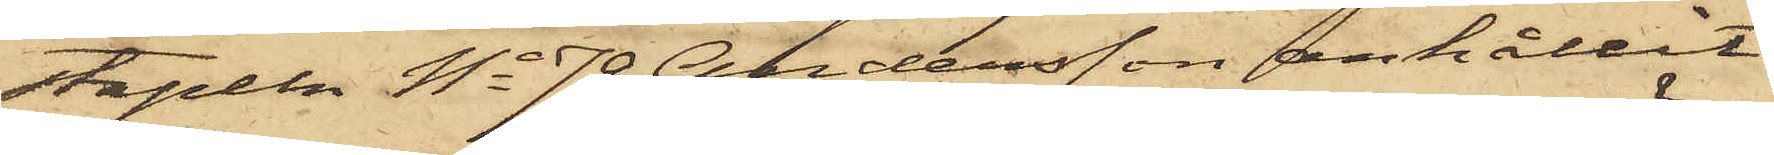stapeln No 79 Andersson anhållit
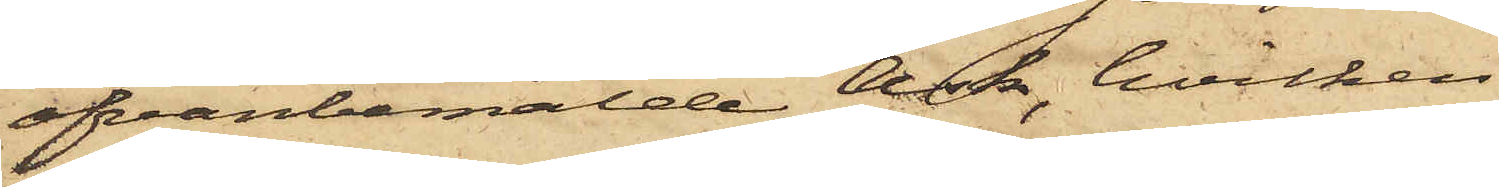ofvanbemälde Ask, hvilken
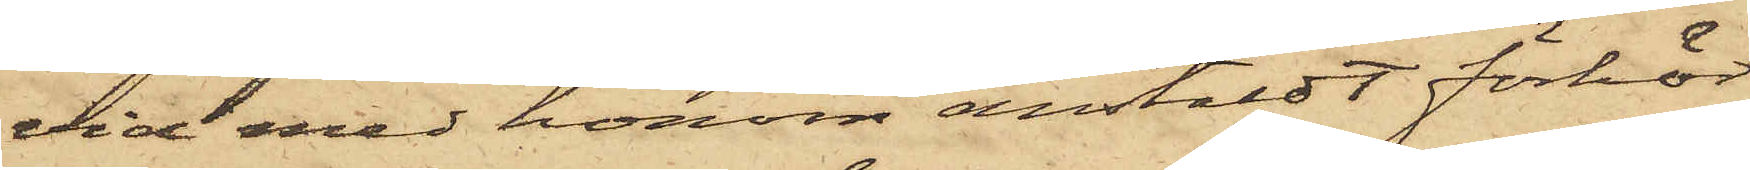vid med honom anstäldt förhör
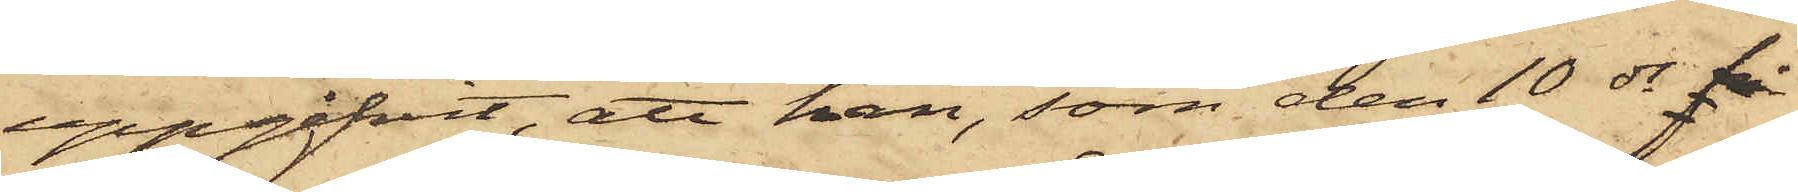uppgifvit, att han, som den 10 ds på
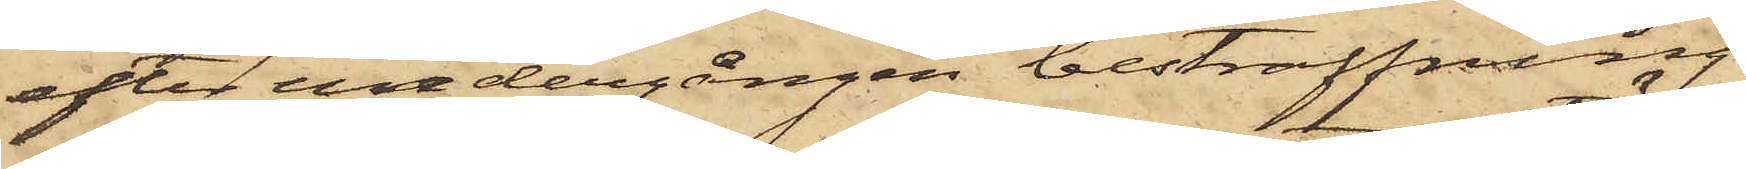efter undergången bestraffning
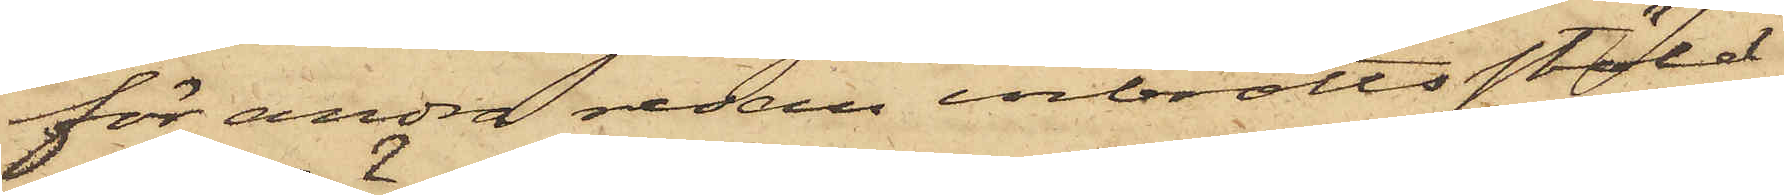för andra redan inbrottsstöld
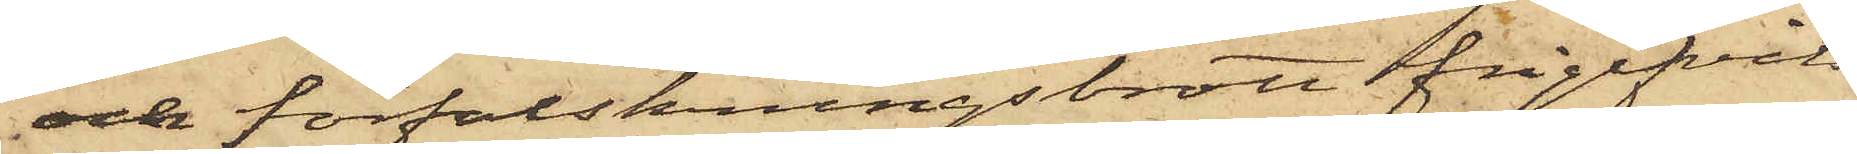och förfalskningsbrott frigifvits
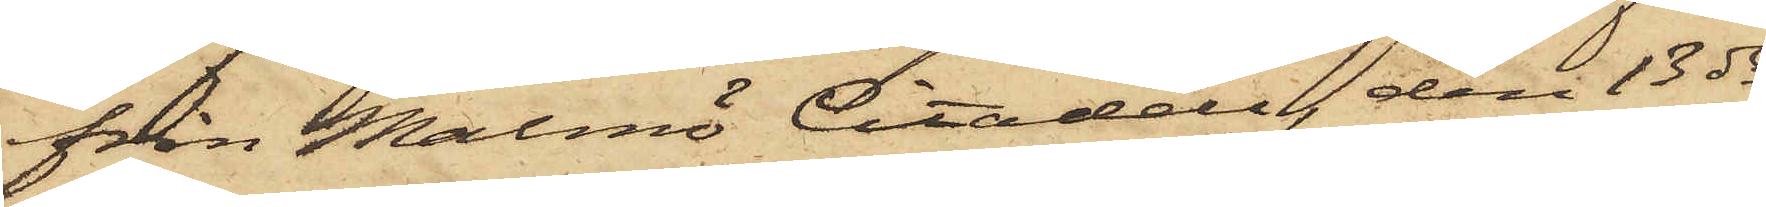från Malmö Citadell, den 13 ds
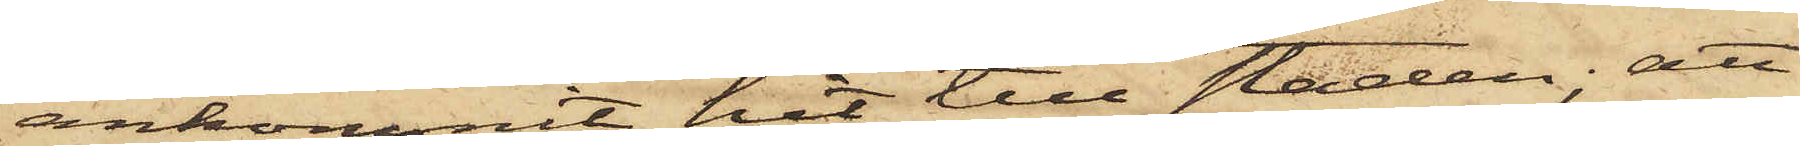ankommit hit till staden; att
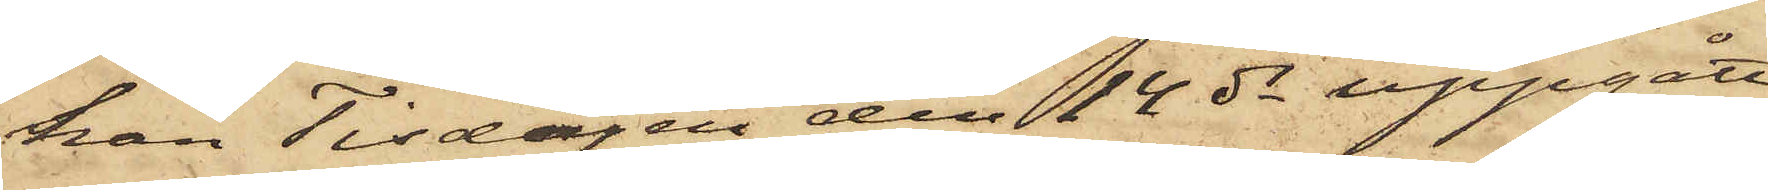han Tisdagen den 14 ds uppgått
